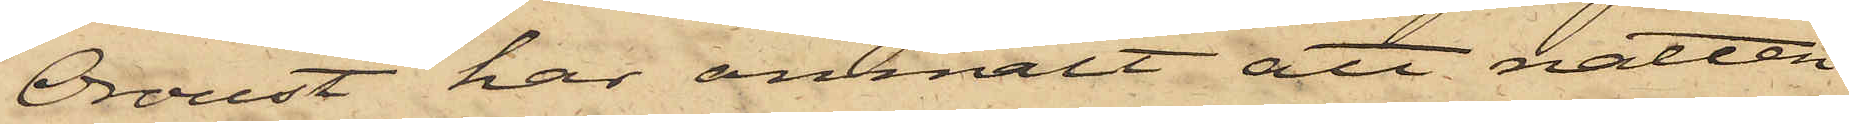Oroust har anmält att natten
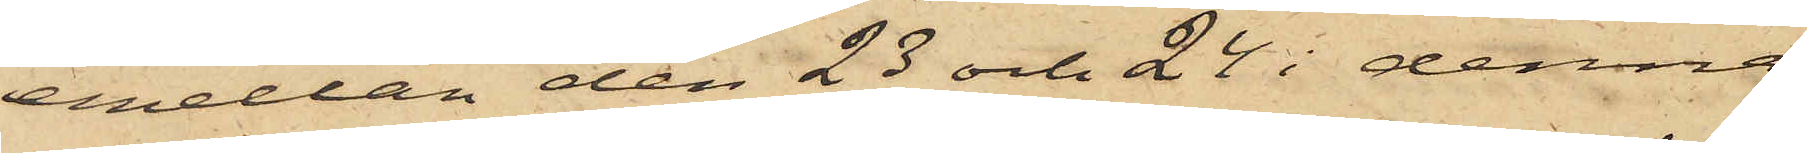emellan den 23 och 24 i denna
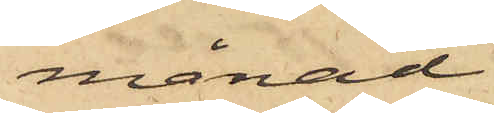månad
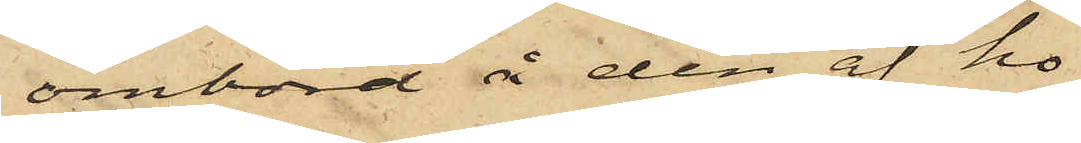ombord å den af ho¬
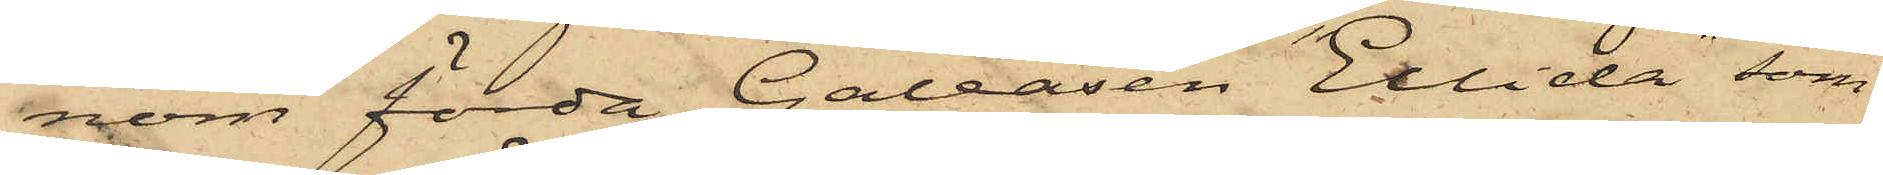nom förda Galeasen "Ellida" som
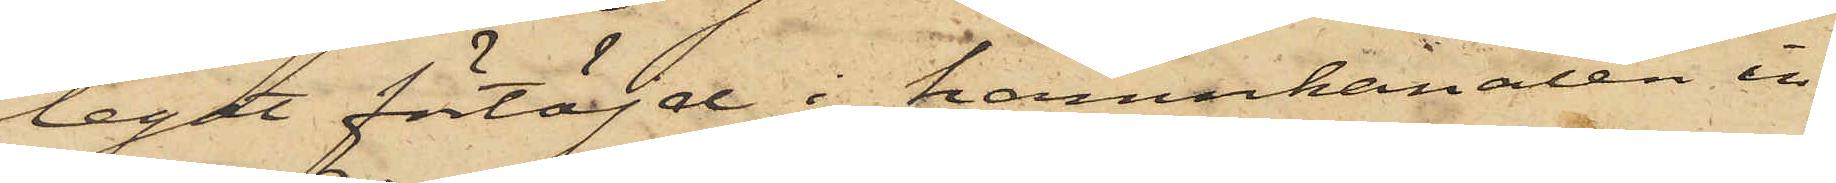legat förtöjd i hamnkanalen in¬
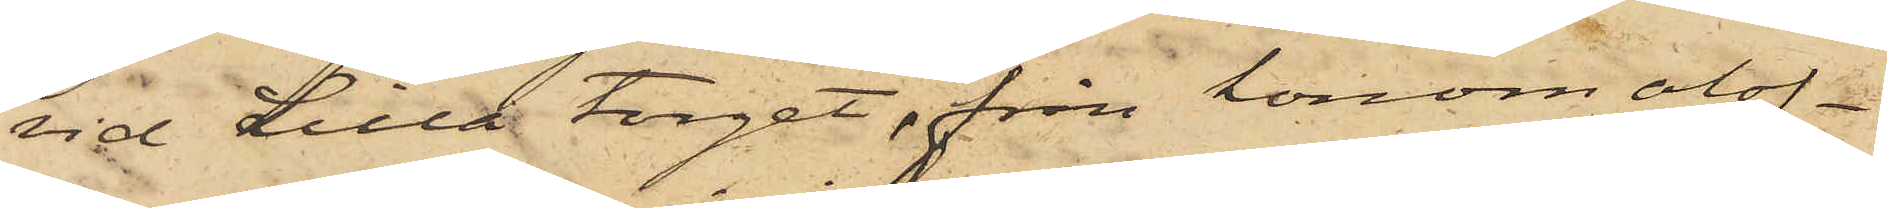vid Lilla torget, från honom olof¬
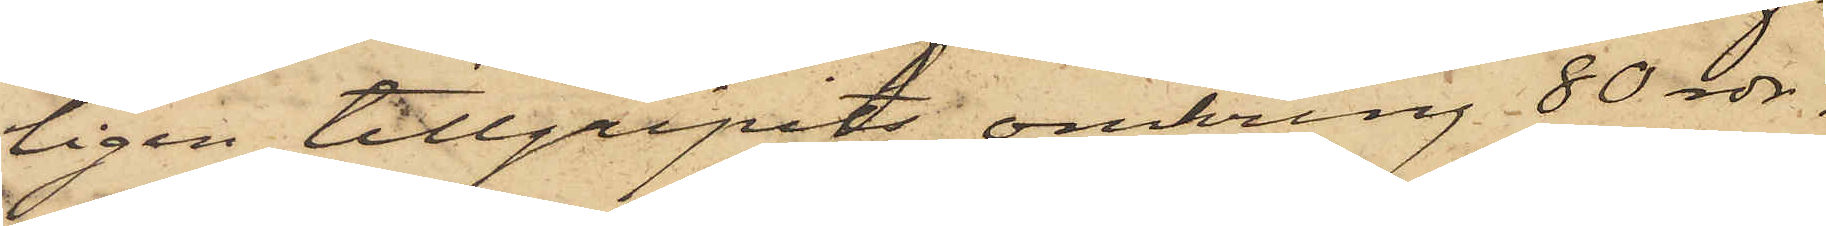ligen tillgripits omkring 80 rdr.
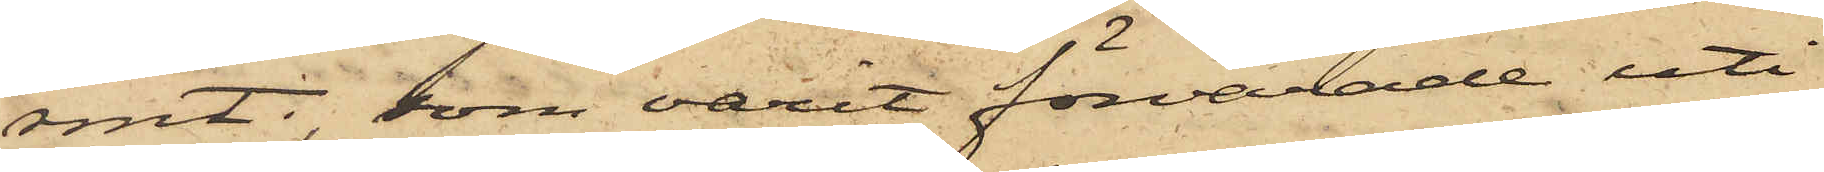rmt, som varit förvarade uti
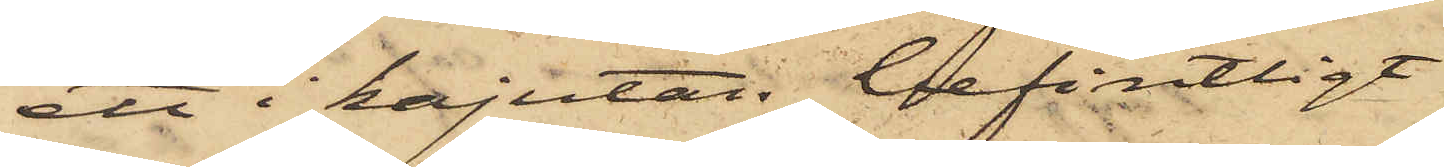ett i kajutan befintligt
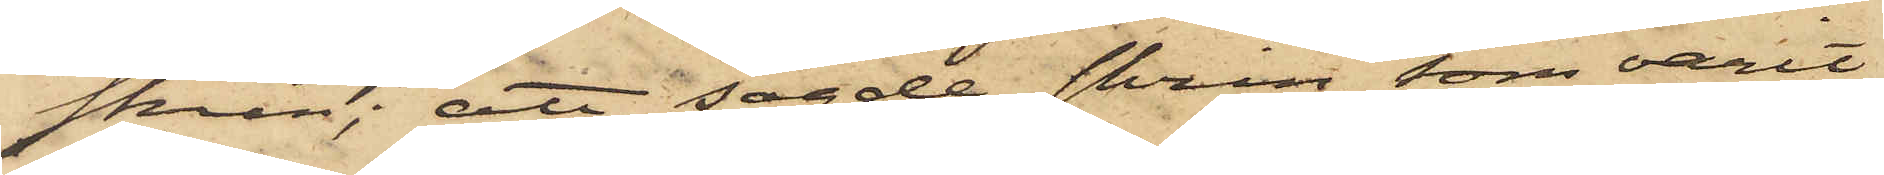skrin; att sagde skrin, som varit
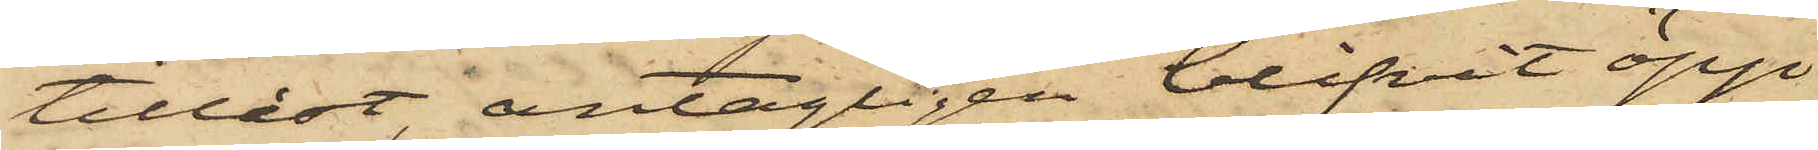tillåst, antagligen blifvit öpp¬
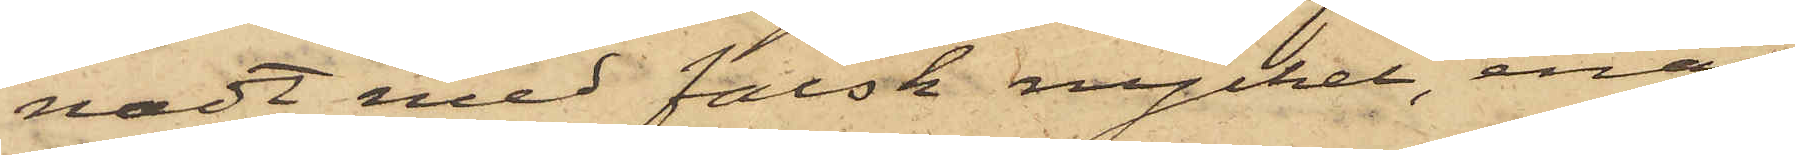nadt med falsk nyckel, enär
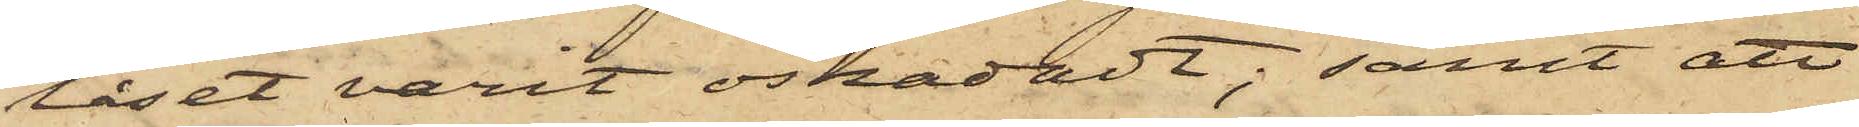låset varit oskadadt; samt att
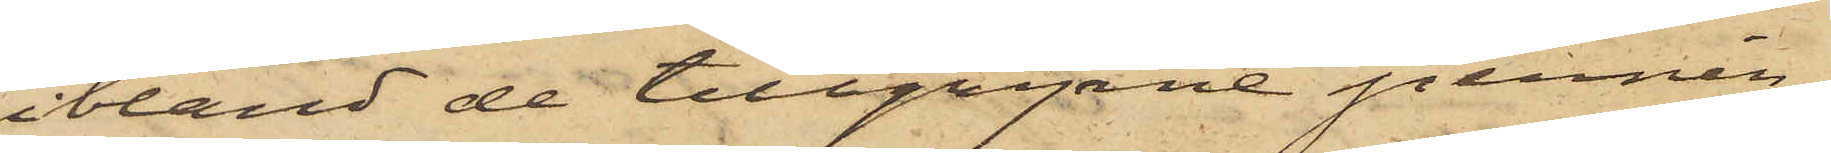ibland de tillgripne pennin¬
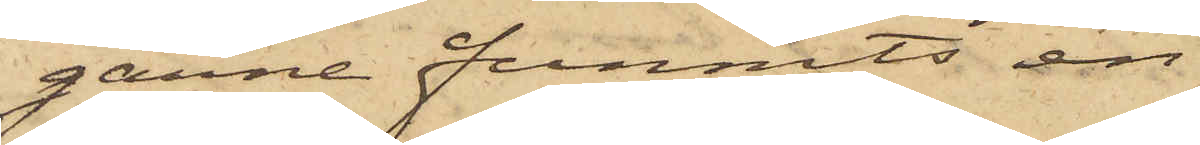garne funnits en
